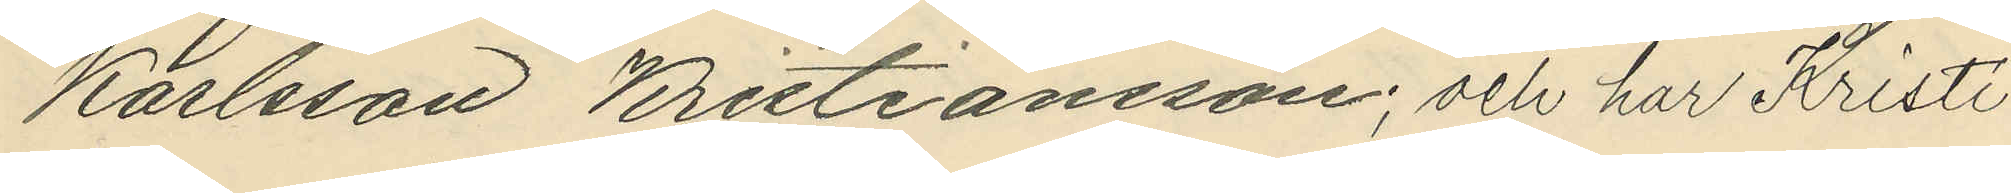Karlsson Kristiansson; och har Kristi¬
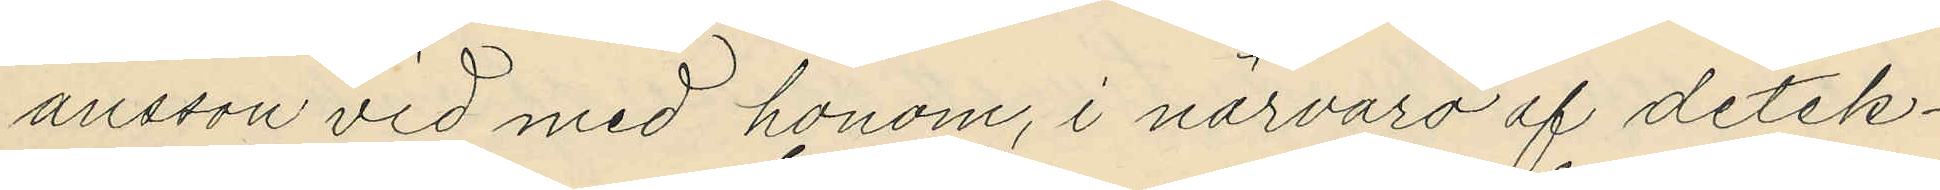ansson vid med honom, i närvaro af detek¬
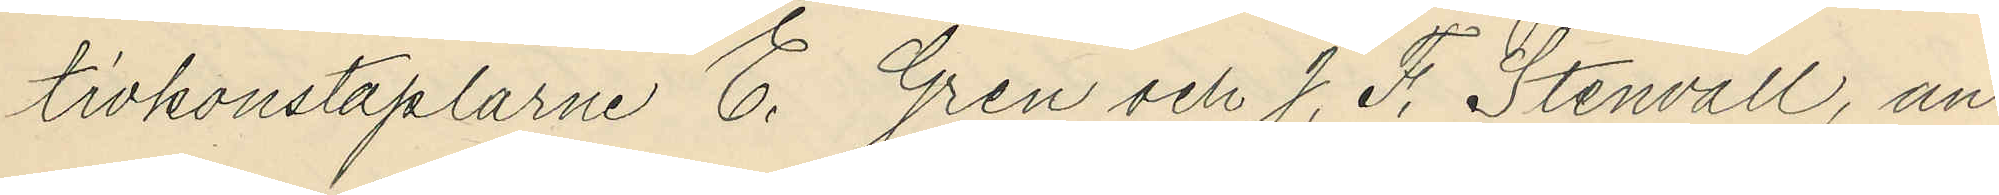tivkonstaplarne E. Gren och J. F. Stenvall, an¬
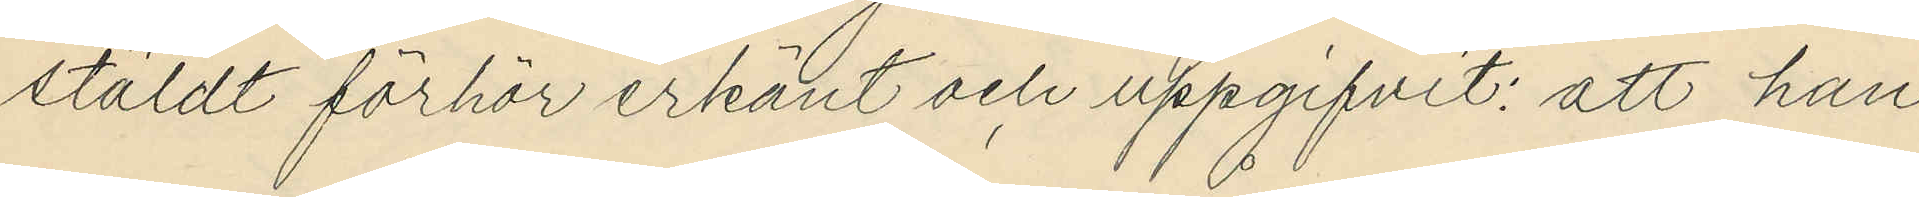stäldt förhör erkänt och uppgifvit: att han
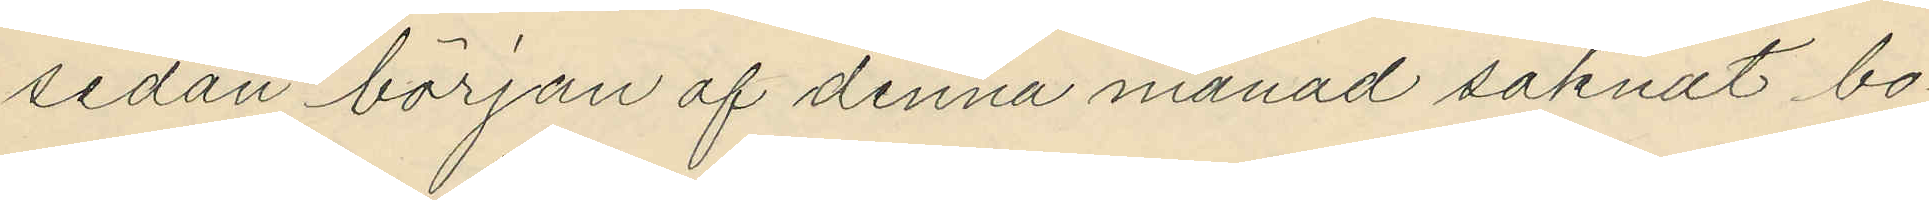sedan början af denna månad saknat bo¬
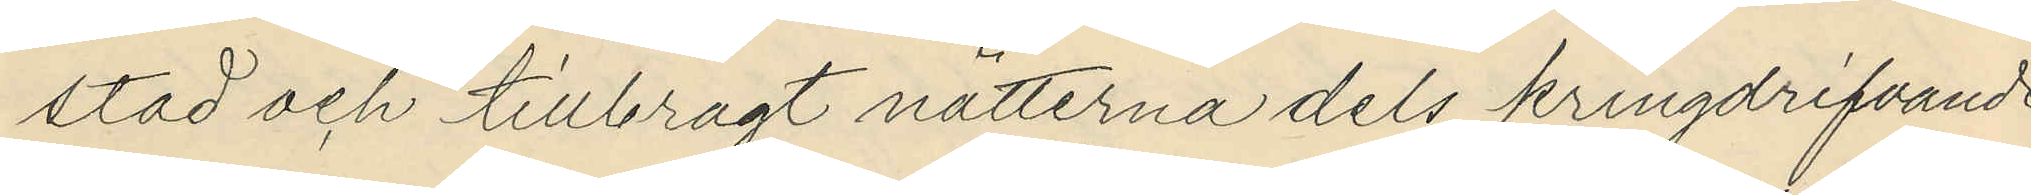stad och tillbragt nätterna dels kringdrifvande
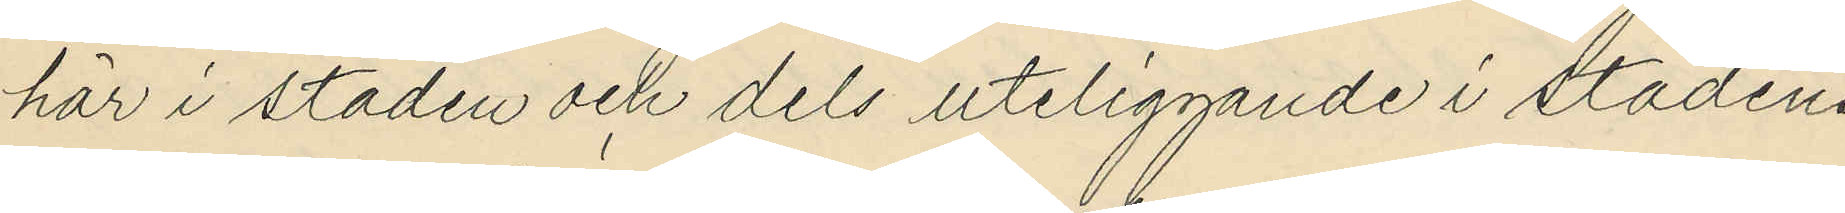här i staden och dels uteliggande i stadens
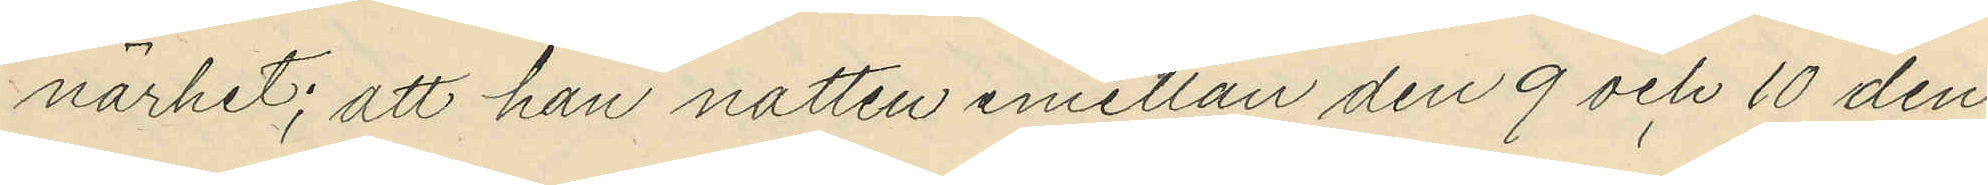närhet; att han natten emellan den 9 och 10 den¬
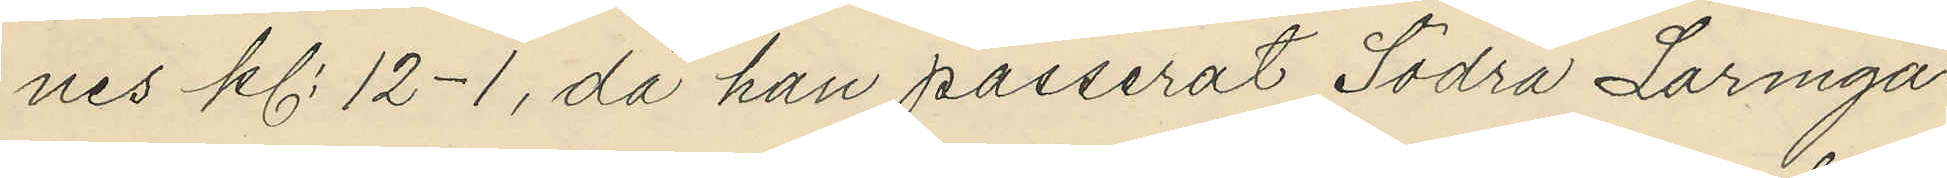nes kl. 12-1, då han passerat Södra Larmga¬
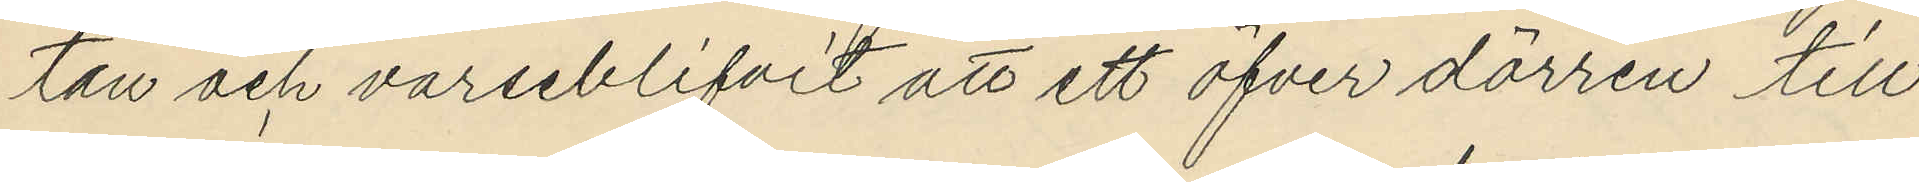tan och varseblifvit att ett öfver dörren till
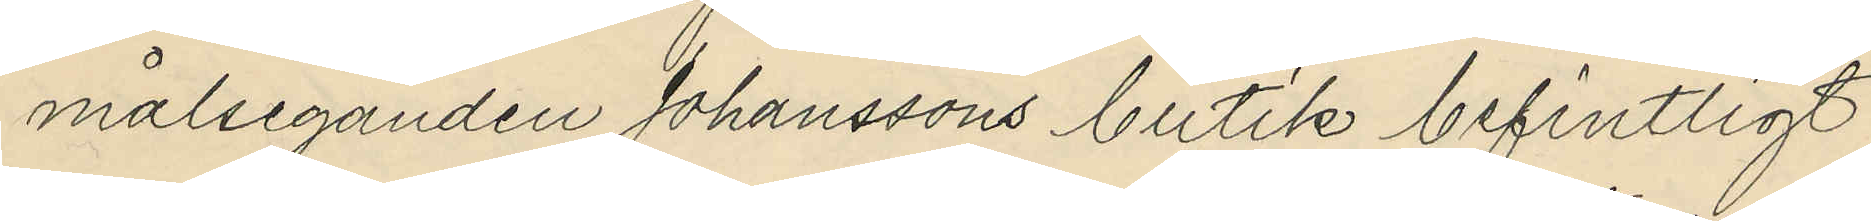målseganden Johanssons butik befintligt
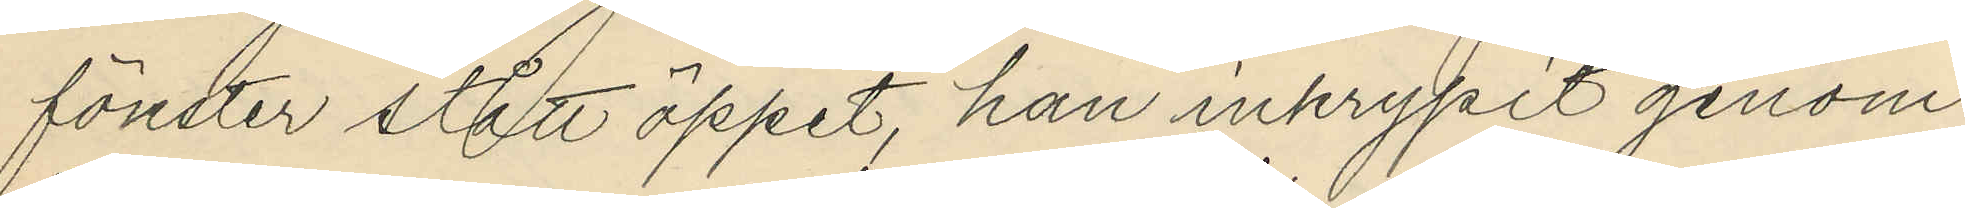fönster stått öppet, han inkrypit genom
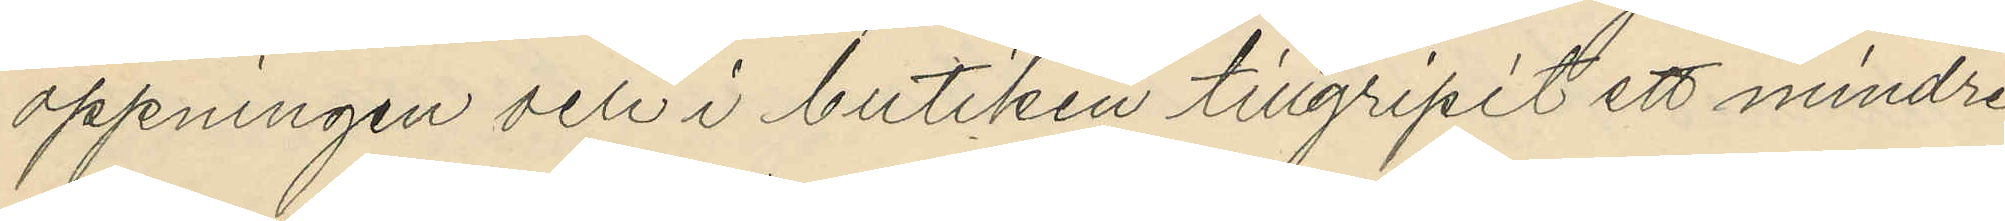öppningen och i butiken tillgripit ett mindre
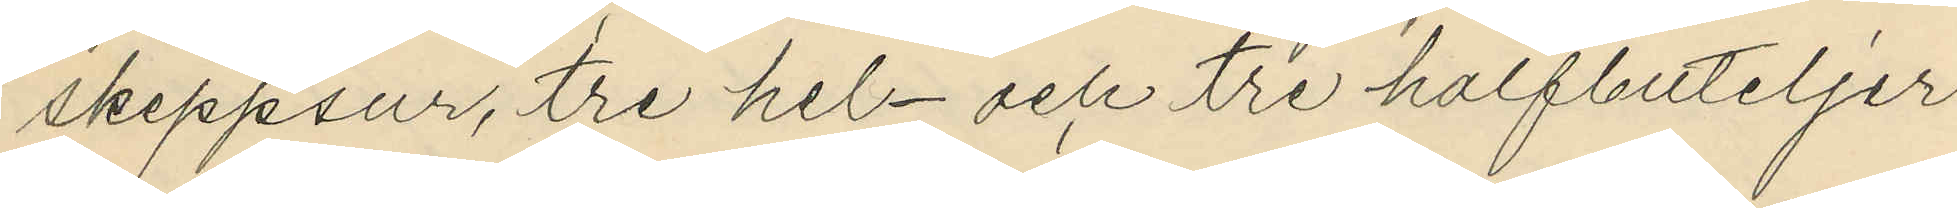skeppsur, tre hel- och tre halfbuteljer
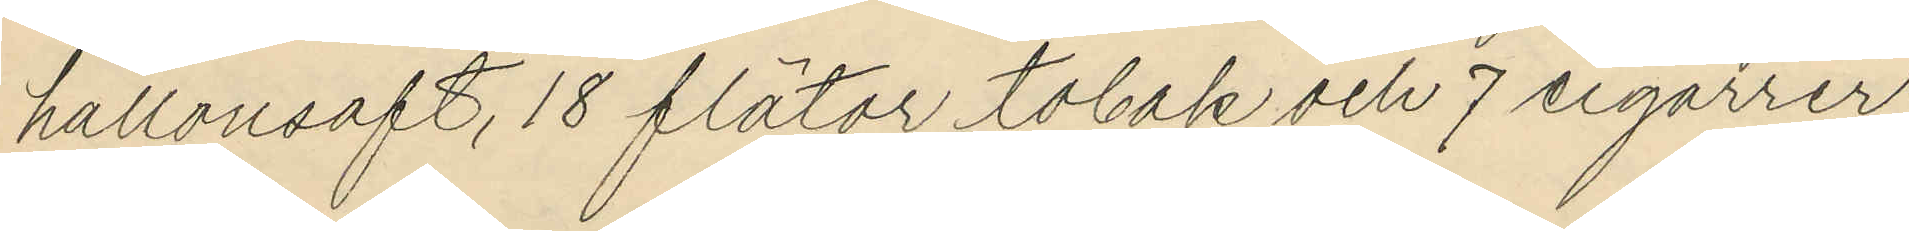hallonsaft, 18 flätor tobak och 7 cigarrer;
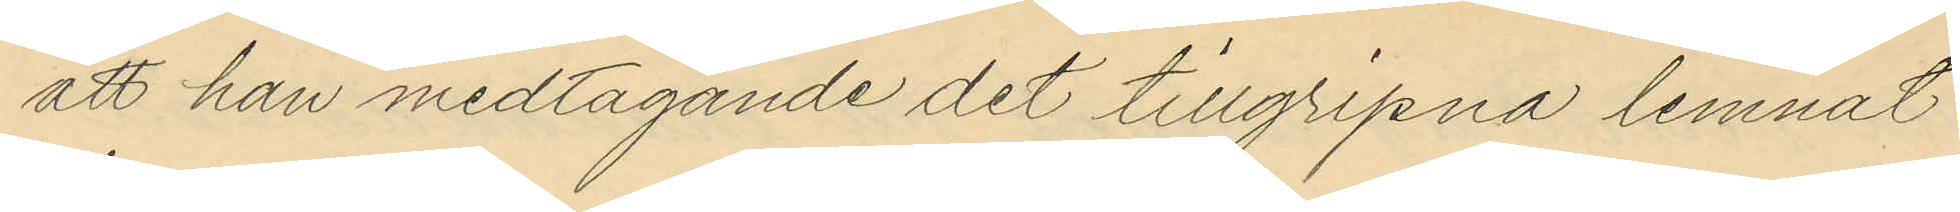att han medtagande det tillgripna lemnat
